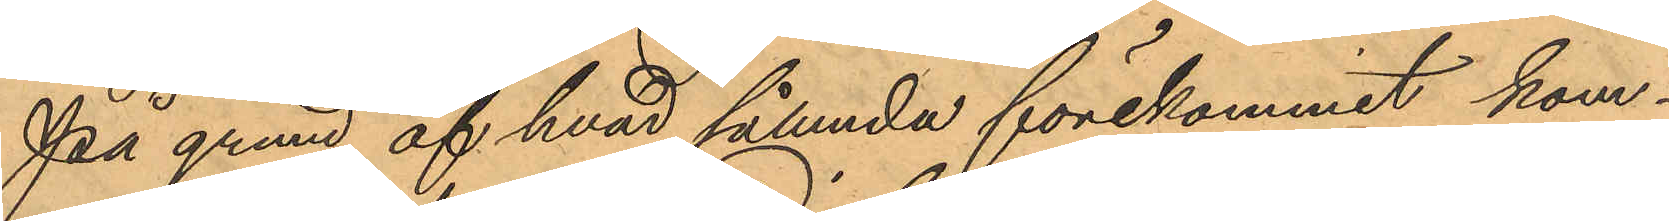På grund af hvad sålunda förekommit kom¬
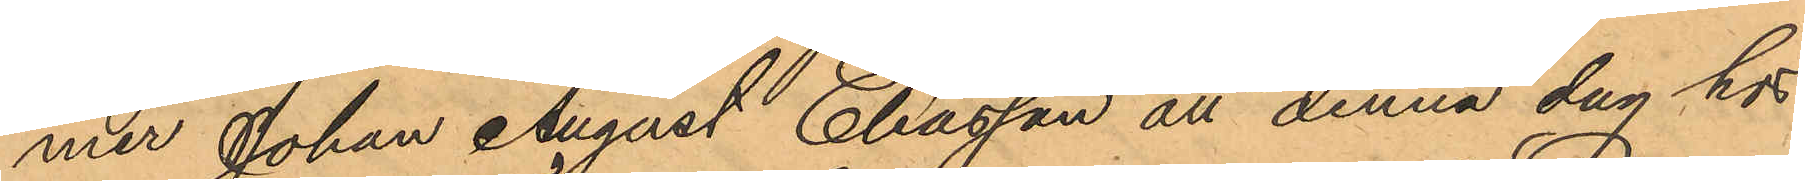mer Johan August Eliasson att denna dag hos
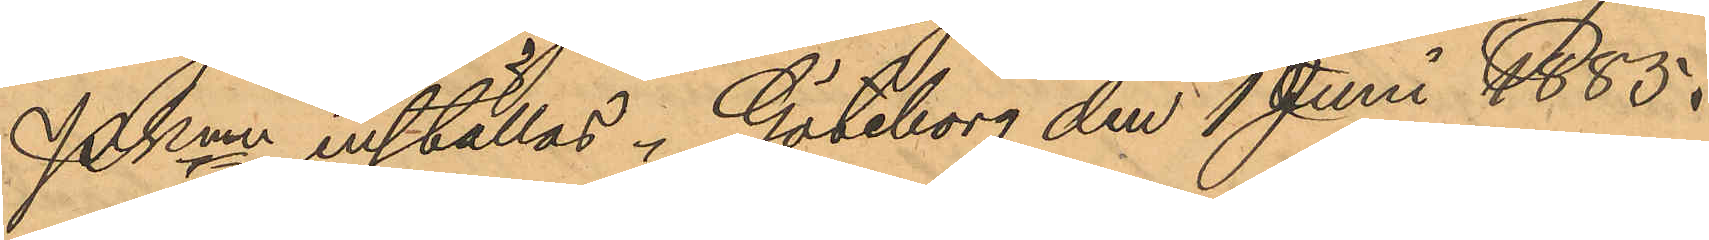PKmn inställas. Göteborg den 1 Juni 1885.
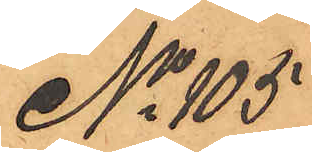No 105
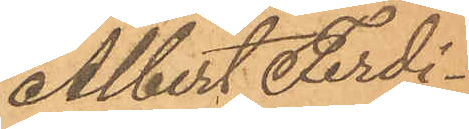Albert Ferdi¬
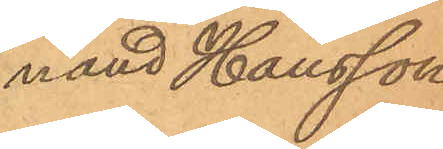nand Hansson
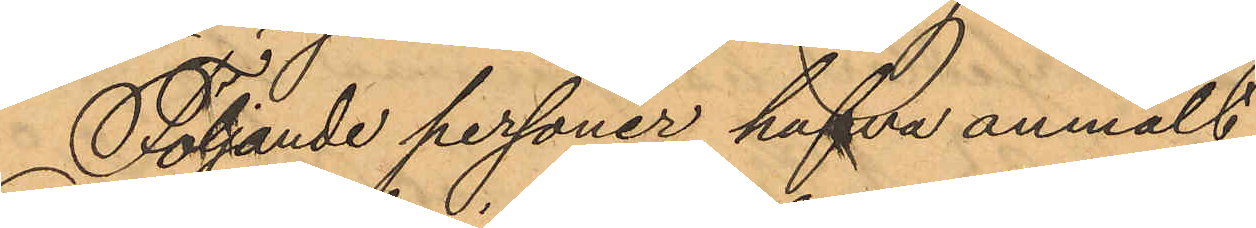Följande personer hafva anmält
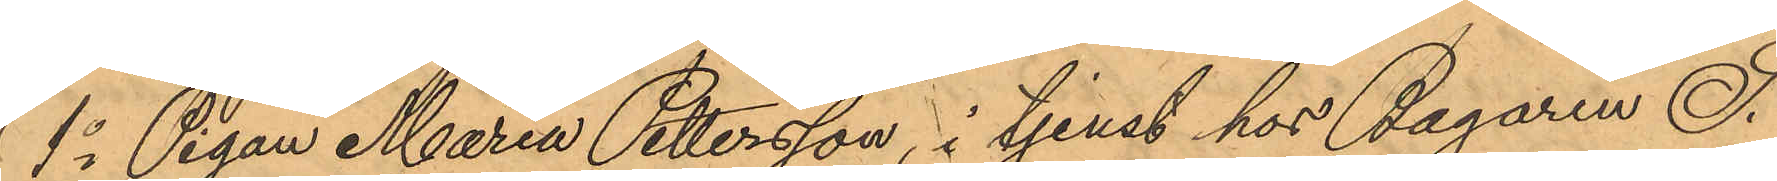1o Pigan Maria Pettersson, i tjenst hos Bagaren I.
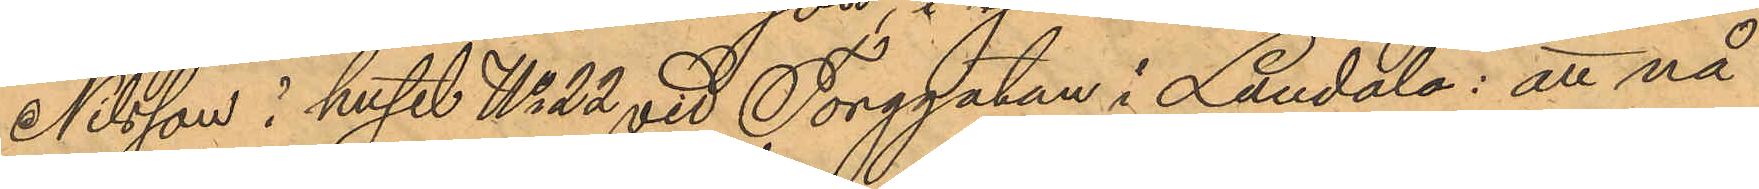Nilsson i huset No 22 vid Torggatan i Landala: att nå¬
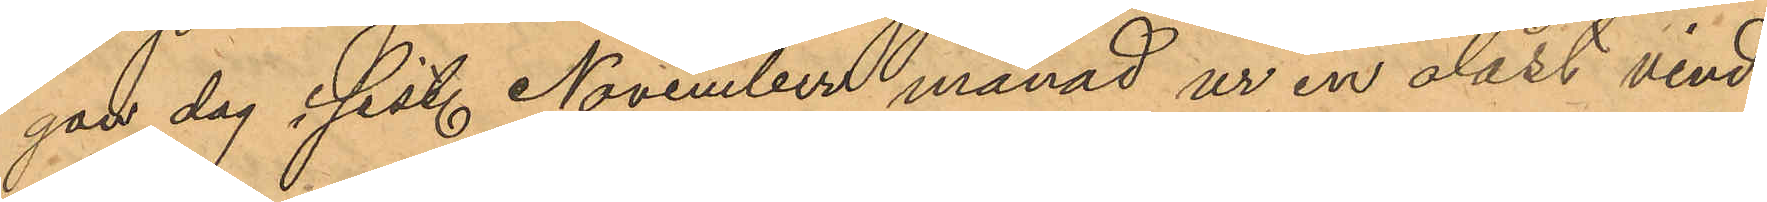gan dag i sist. November månad ur en olåst vind
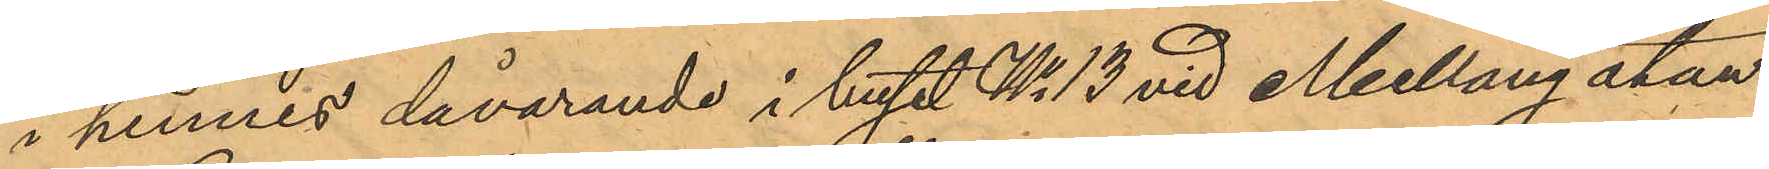i hennes dåvarande i huset No 13 vid Mellangatan
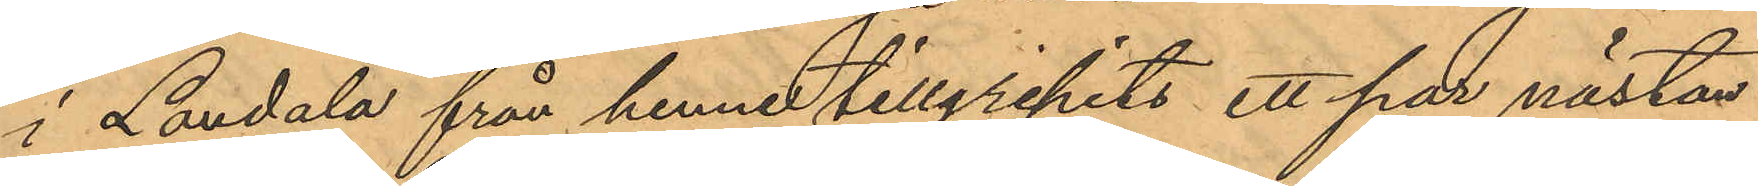i Landala från henne tillgripits ett par nästan
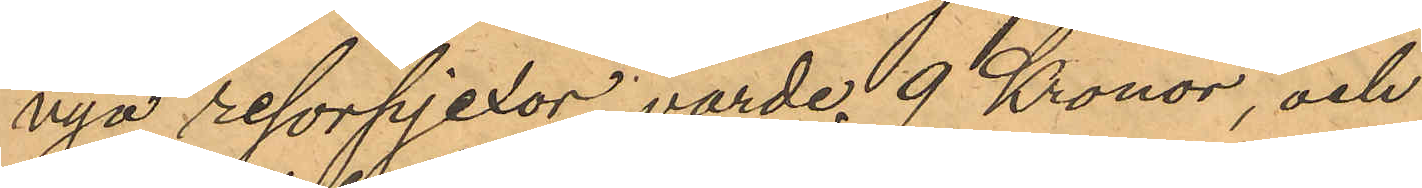nya resorpjexor, värde 9 Kronor, och
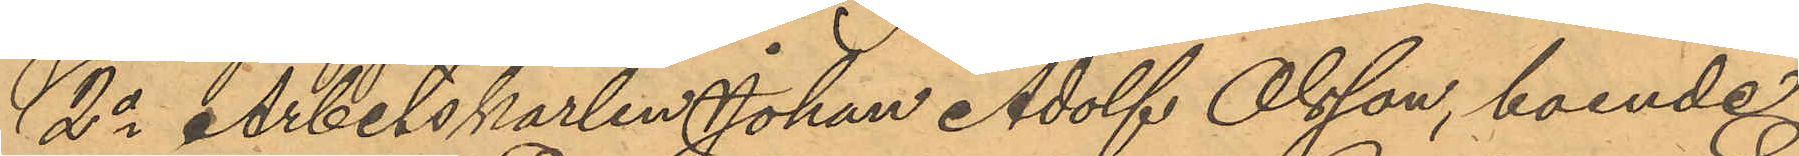2o Arbetskarlen Johan Adolf Olsson, boende
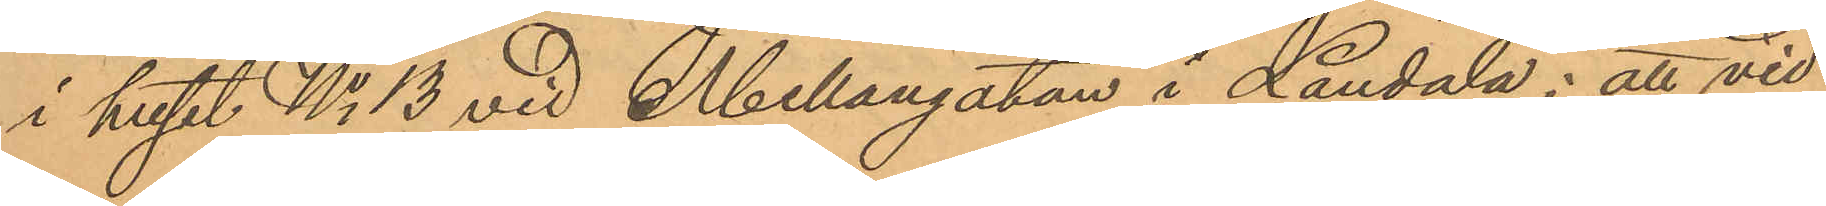i huset No 13 vid Mellangatan i Landala; att vid
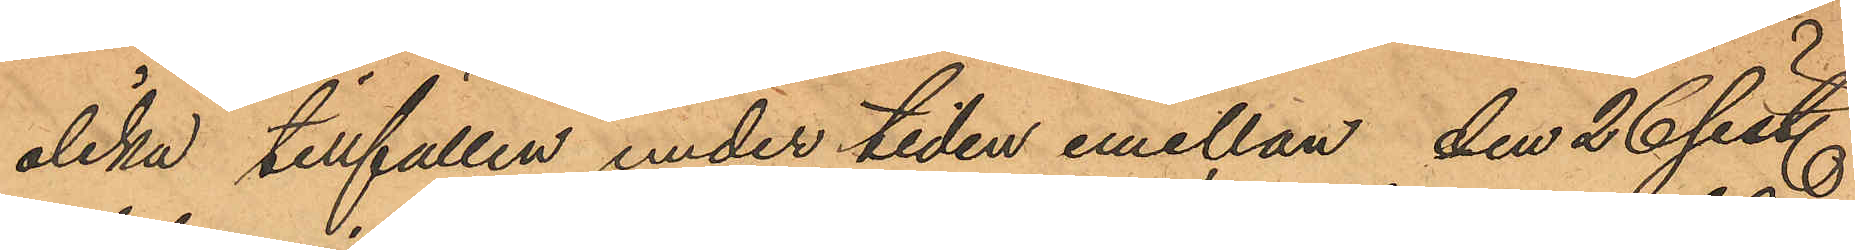olika tillfällen under tiden emellan den 26 sist.
